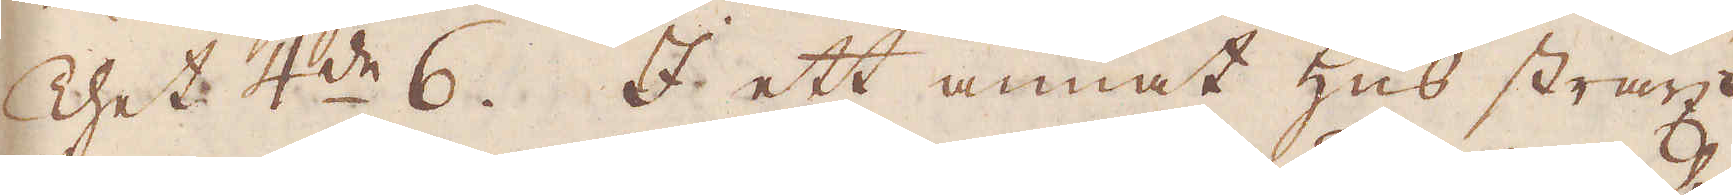Thet 4:de 6. I ett annat hus straxt
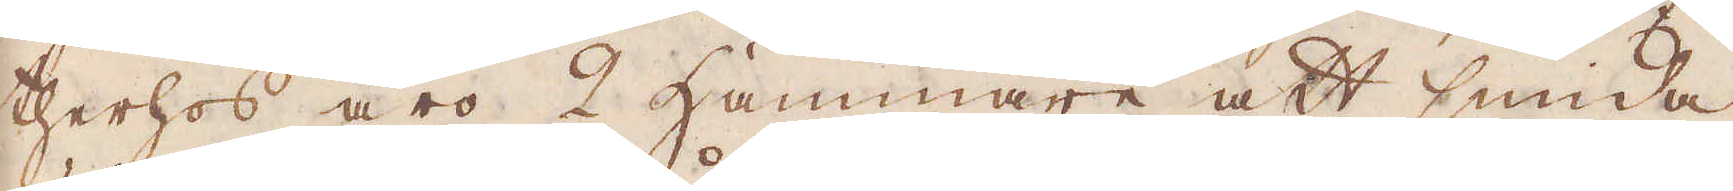therhos äro 2 Hammare att smida
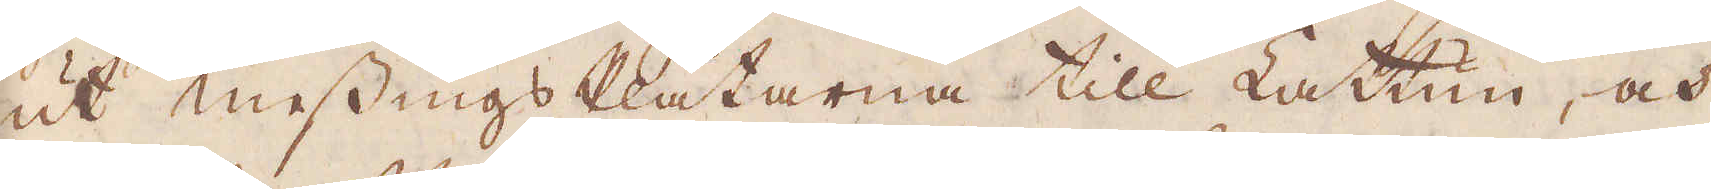ut messings Plåtarna till Lattun, och
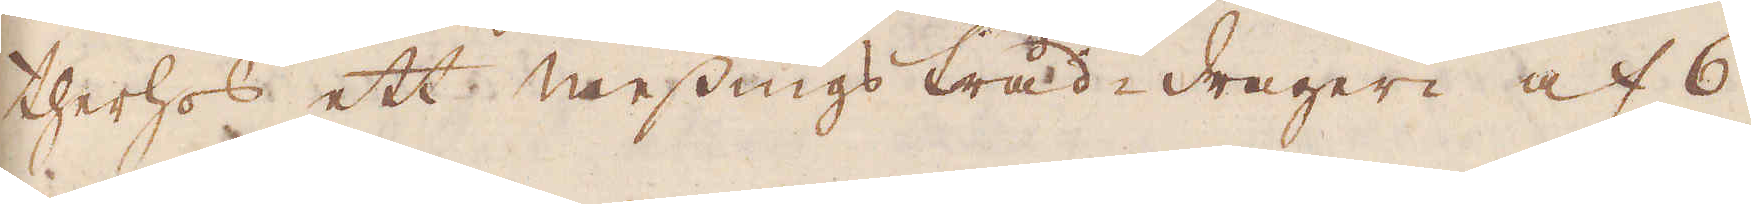therhos ett messingstråd-drageri af 6
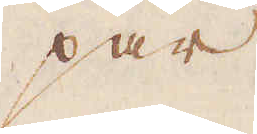par
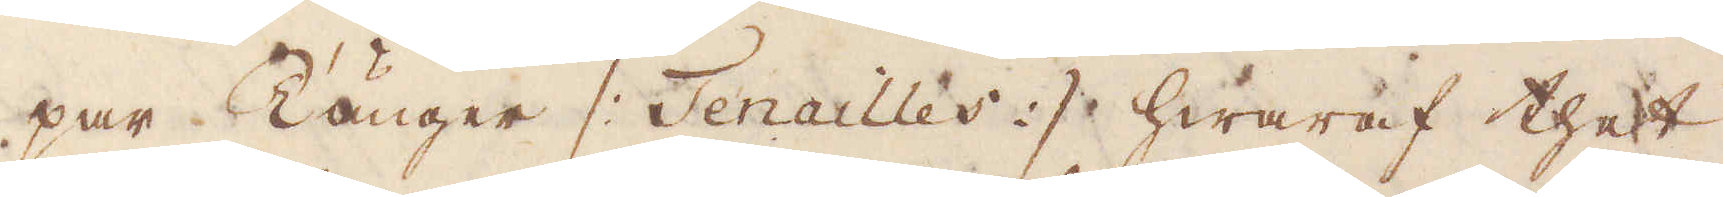par Tänger |: Tenailles :| hwaraf thet
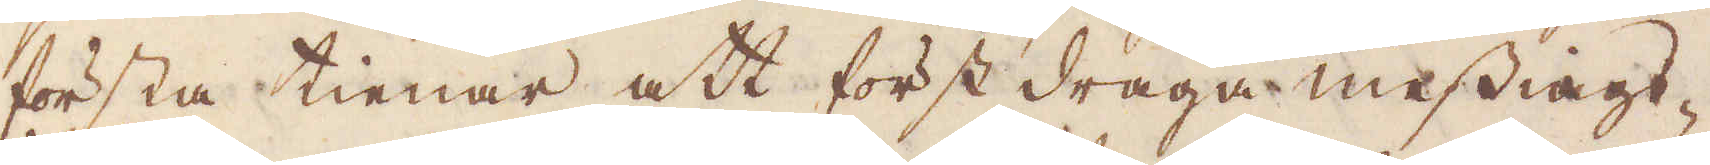första tienar att först draga messings-
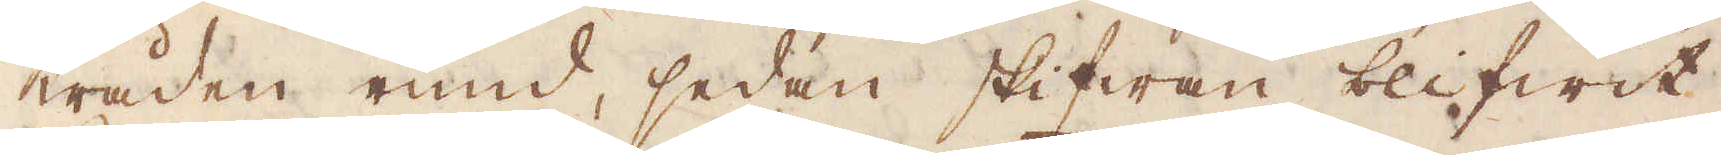tråden rund, sedan skifwan blifwit
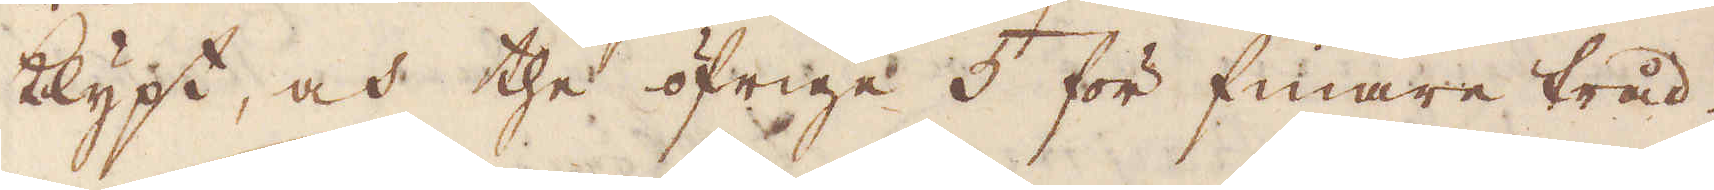klypt, och the öfrige 5 för finare tråd.
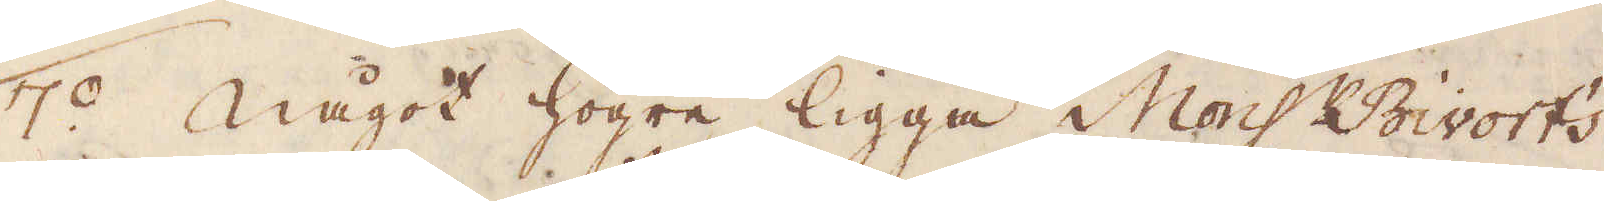7:0 Något högre ligga Mons:r Bivort's
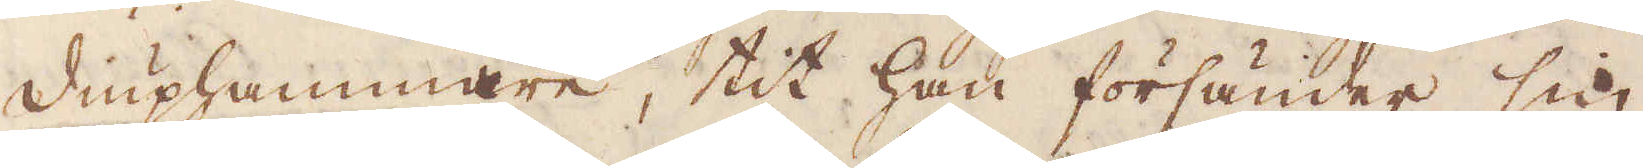diuphammare, tit han försänder sin
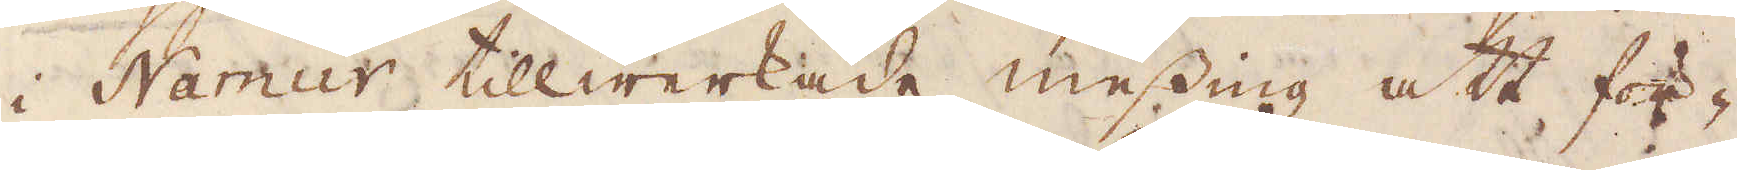i Namur tillwrkade messing att för-
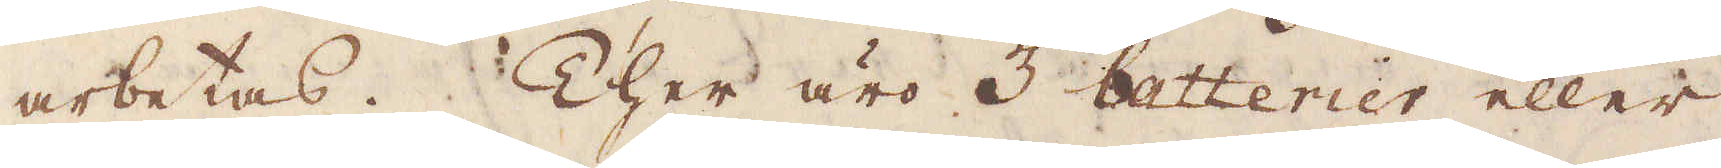arbetas. Ther äro 3 batterier eller
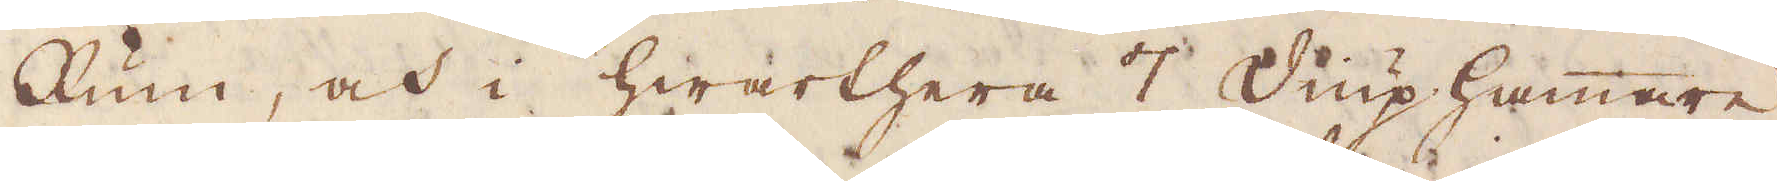Rum, och i hwarthera 7 diuphammare,
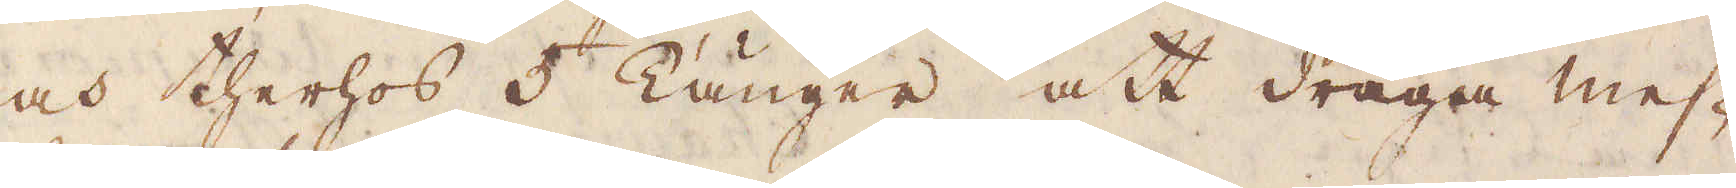och therhos 5 Tänger att draga mes-
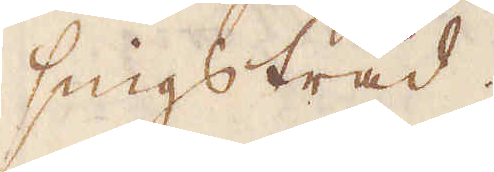singstråd.
